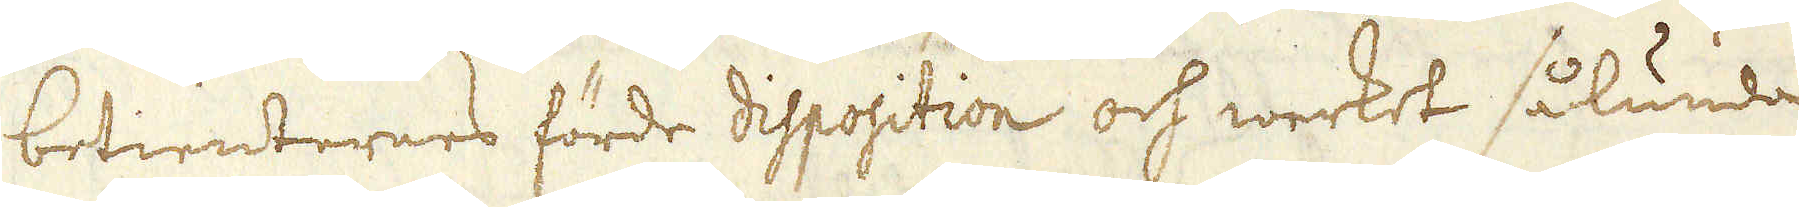betienternes förde disposition och werket sålunda
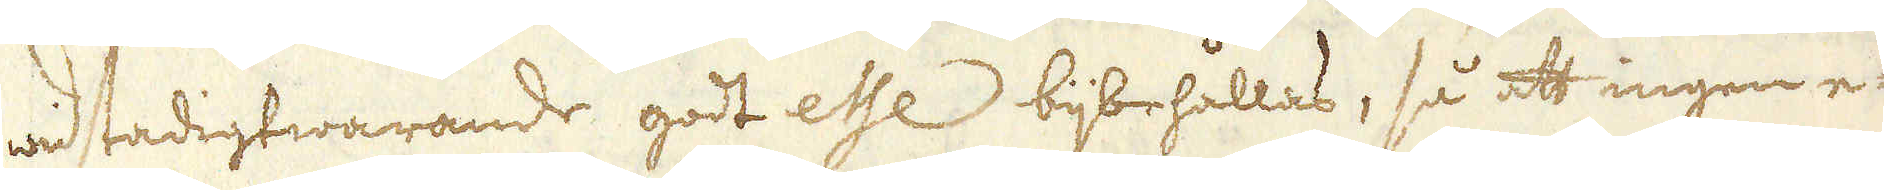wid stadigtwarande godt esse bijbehållas, så att ingen e-
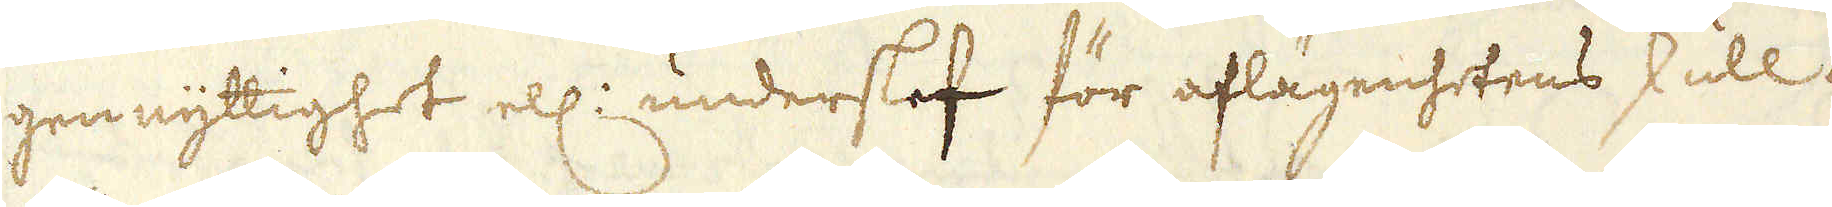gen nyttighet ell: underslef för aflägenhetens skull må
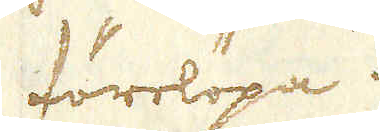förelöpa.
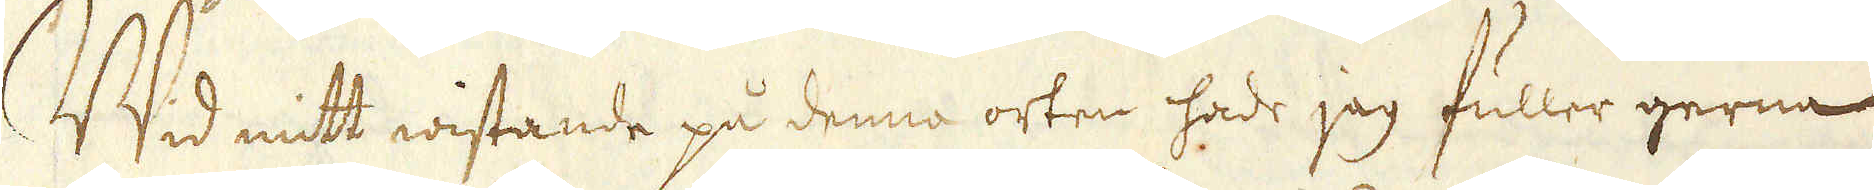Wid mitt wistande på denna orten hade jag fuller gerna
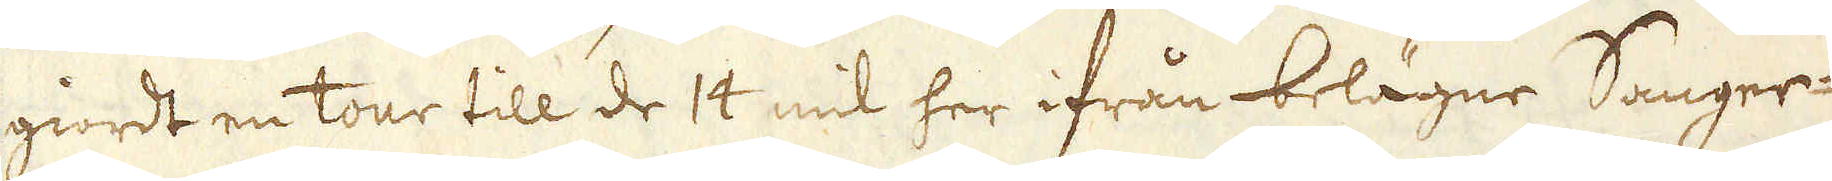giordt en tour till de 14 mil her ifrån belägne Sanger-
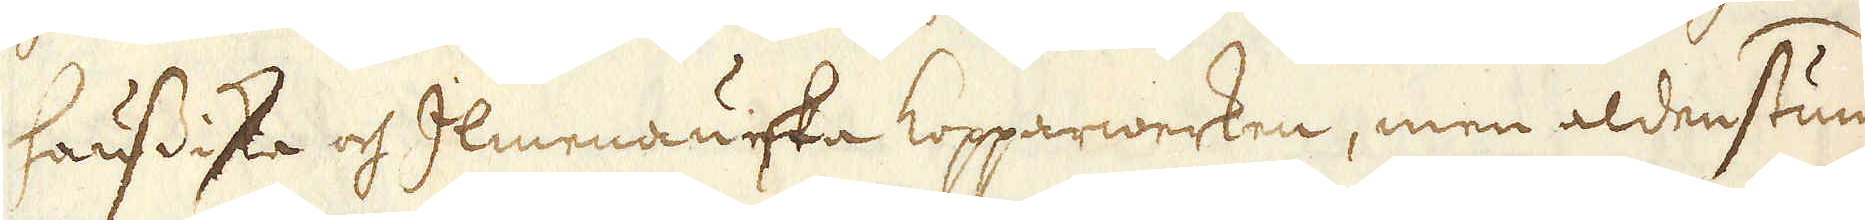haussiska och Imenauiska Kopparwerken, men aldenstund
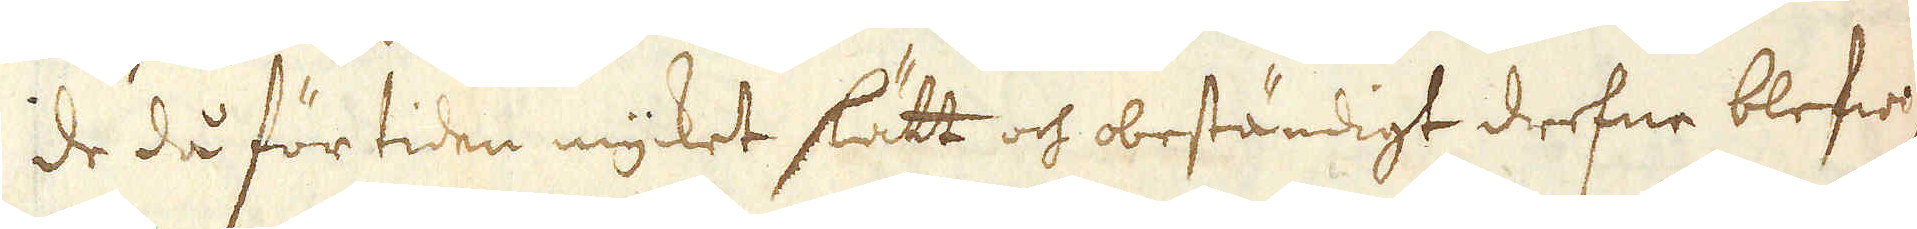de då för tiden mycket slätt och beständigt drefne blefwo
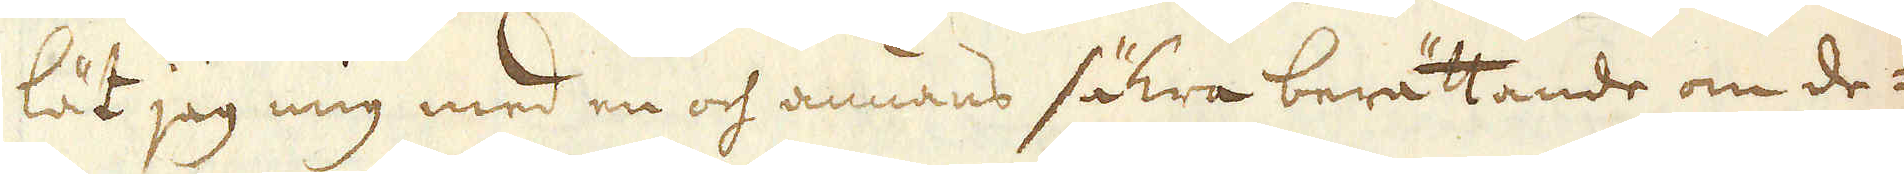lät jag mig med en och annans säkra berättande om de-
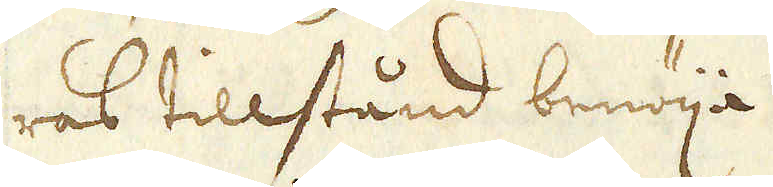ras tillstånd benöija.
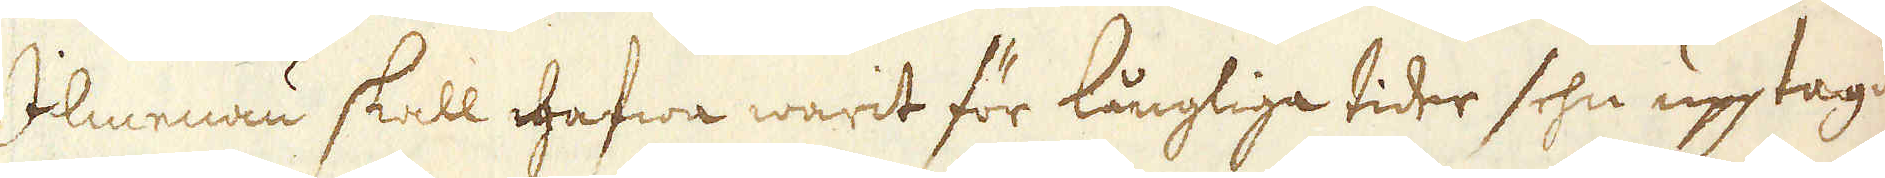Ilmenau skall hafwa warit för långliga tider sehn upptagit
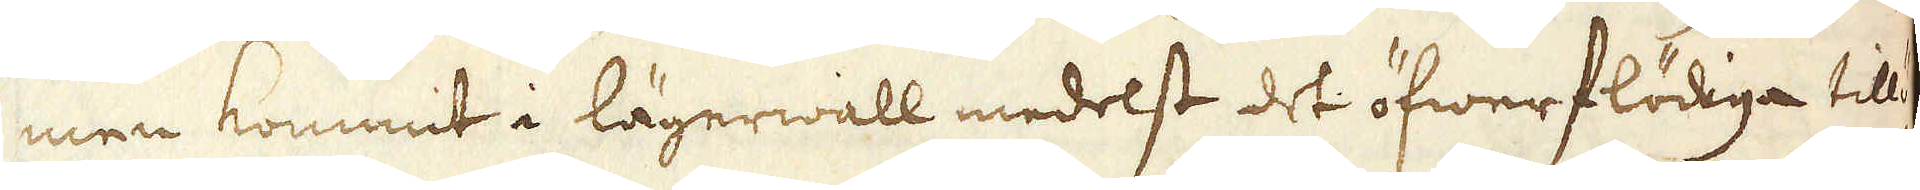men kommit i lägerwall medelst det öfwerflödiga tillö-
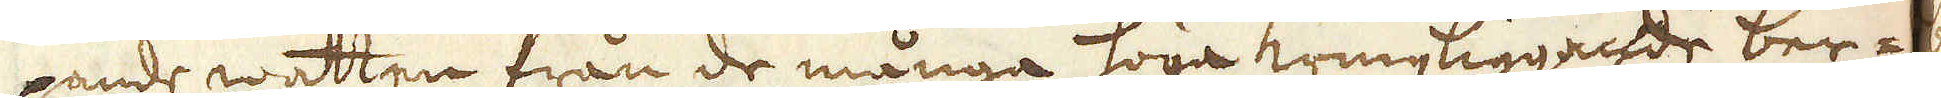pande watten från de många höga kringliggade ber-
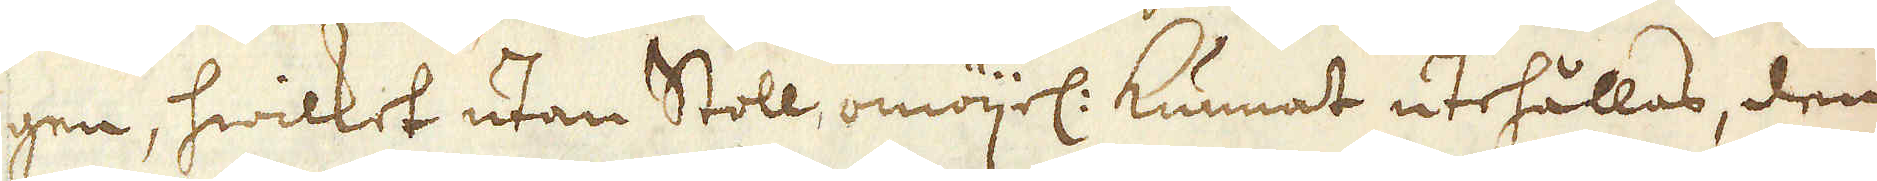gen, hwilket utan Stoll, omöjel: kunnat utehållas, den
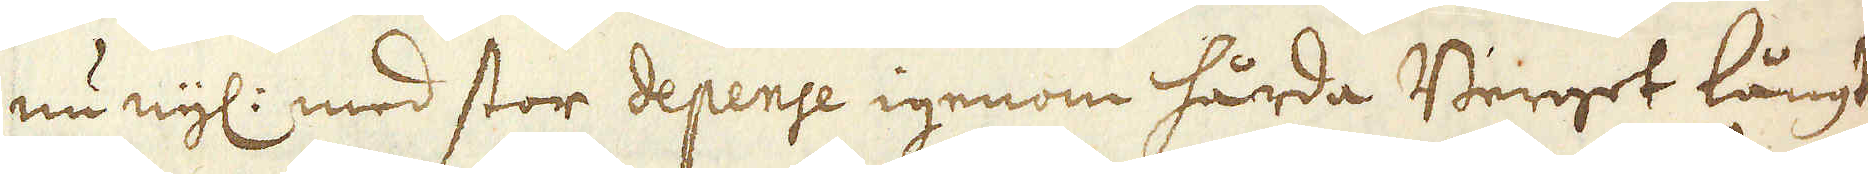nu nyl: med stor depense igenom hårda Berget långt
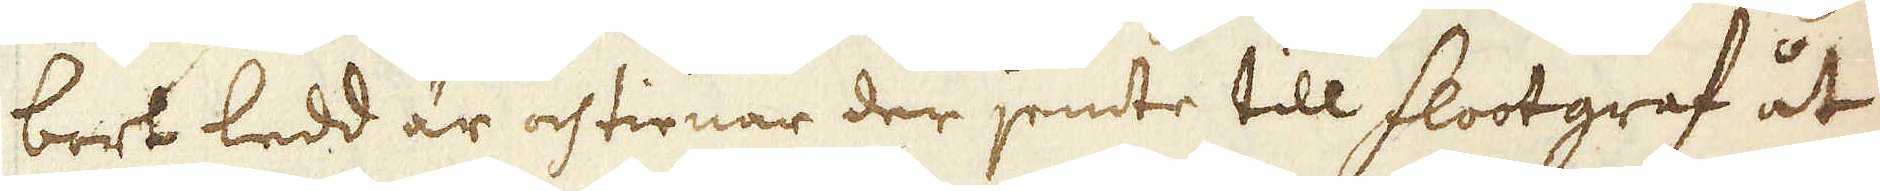bort ledd är och tienar der jemte till flootgraf åt
